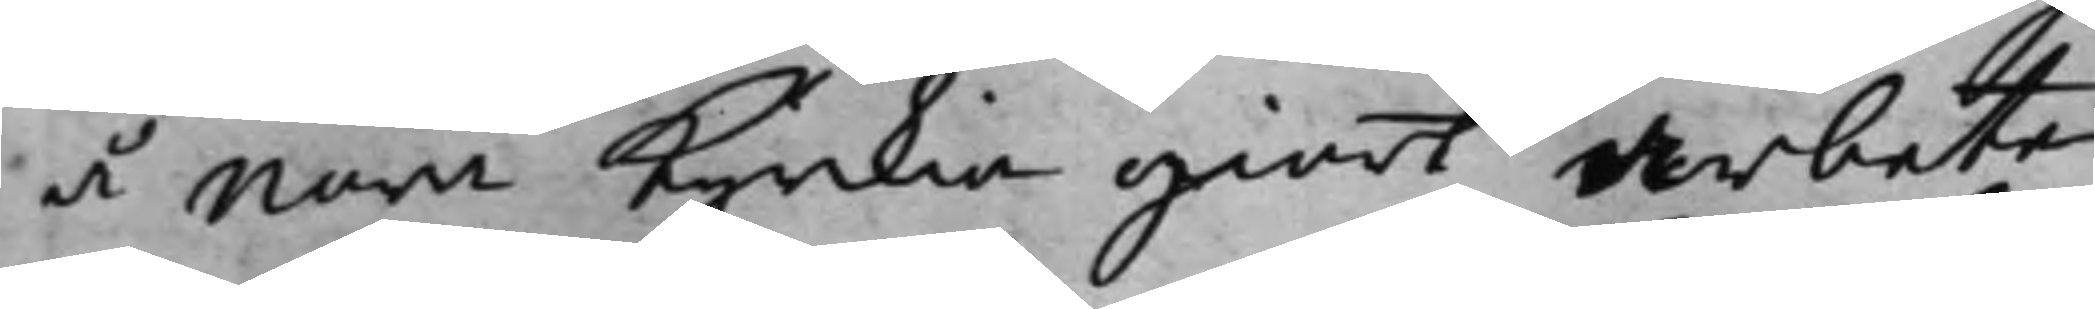å Nora Kyrkia giort arbete
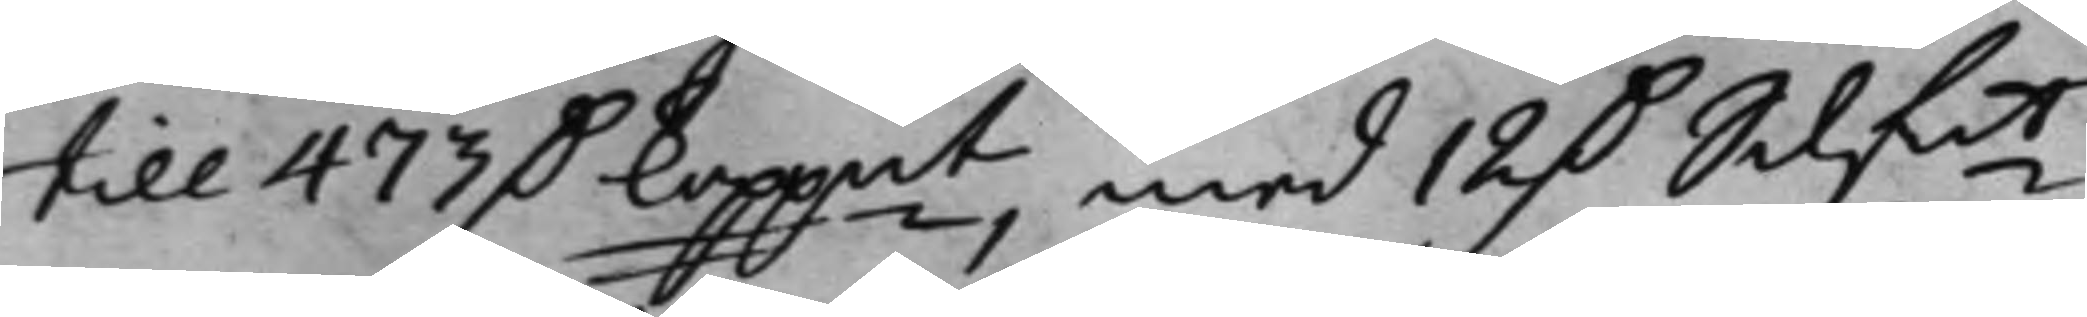till 473 D. Koppmt, med 12 D. Silf.mt,
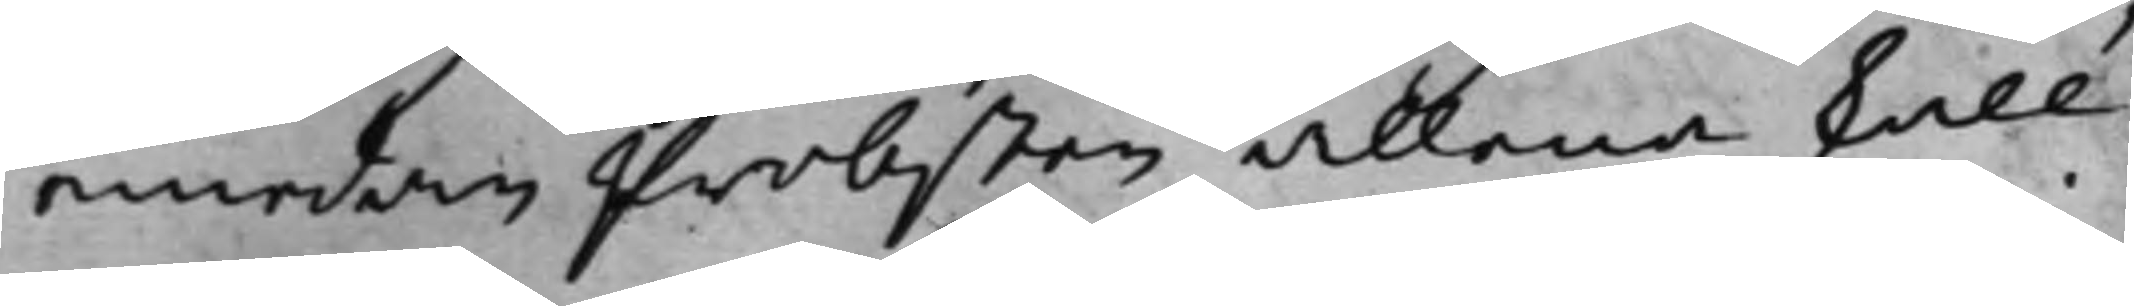emedan Probsten allena skall
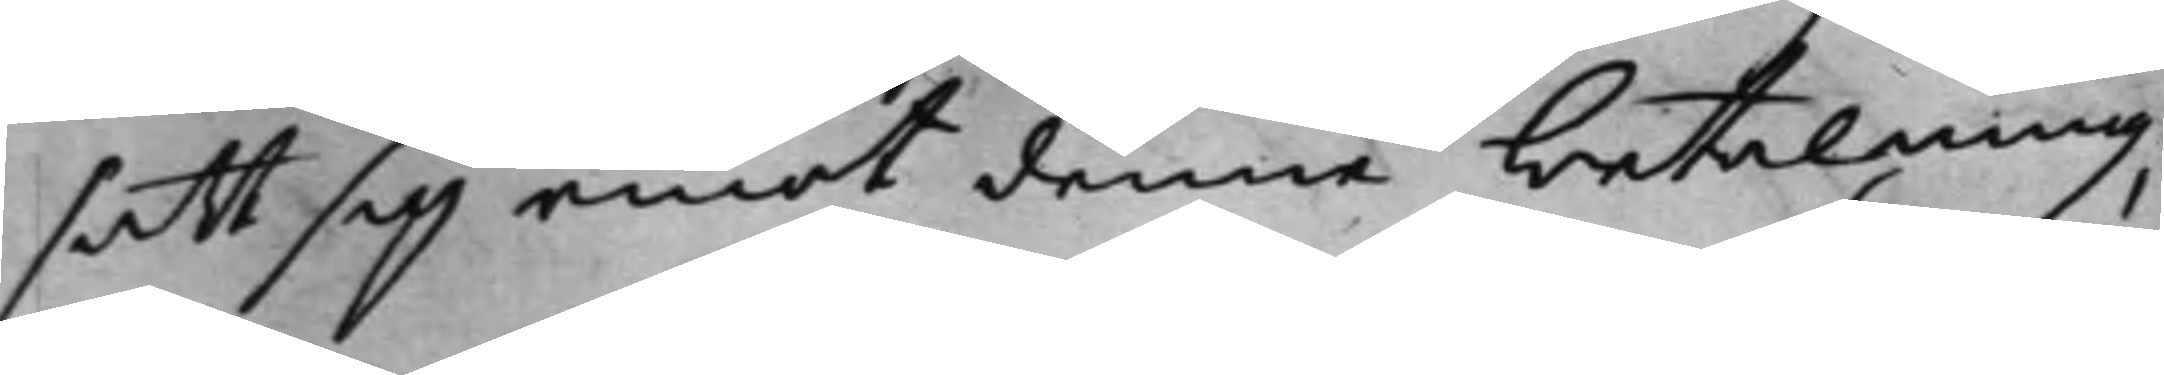satt sig emot denne betalning;
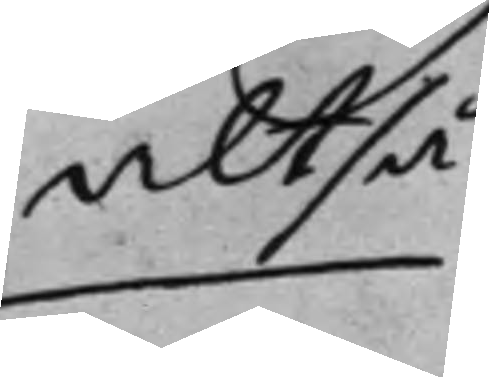altså
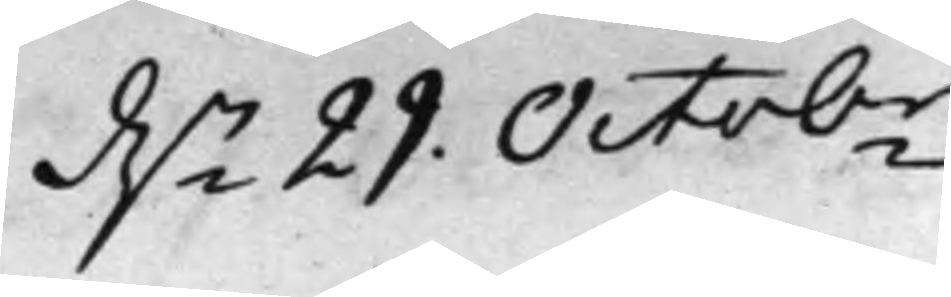d.n 29 Octobr.
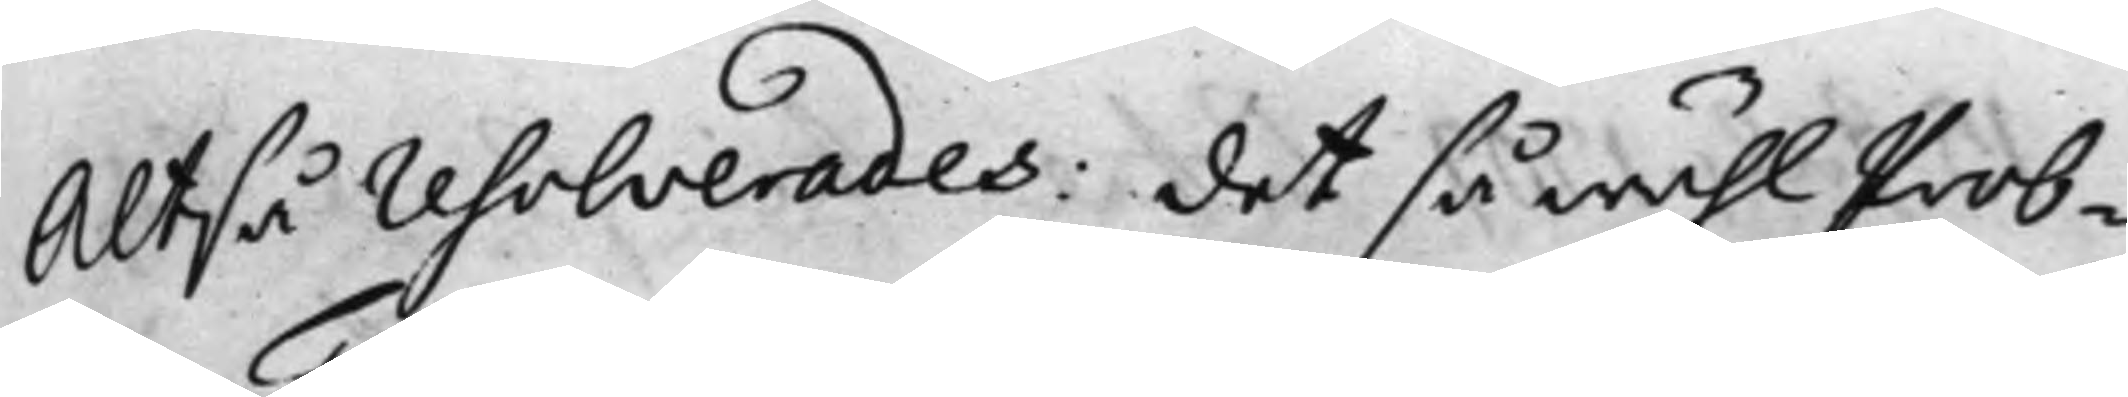Altså resolverades: det så wähl Prob¬
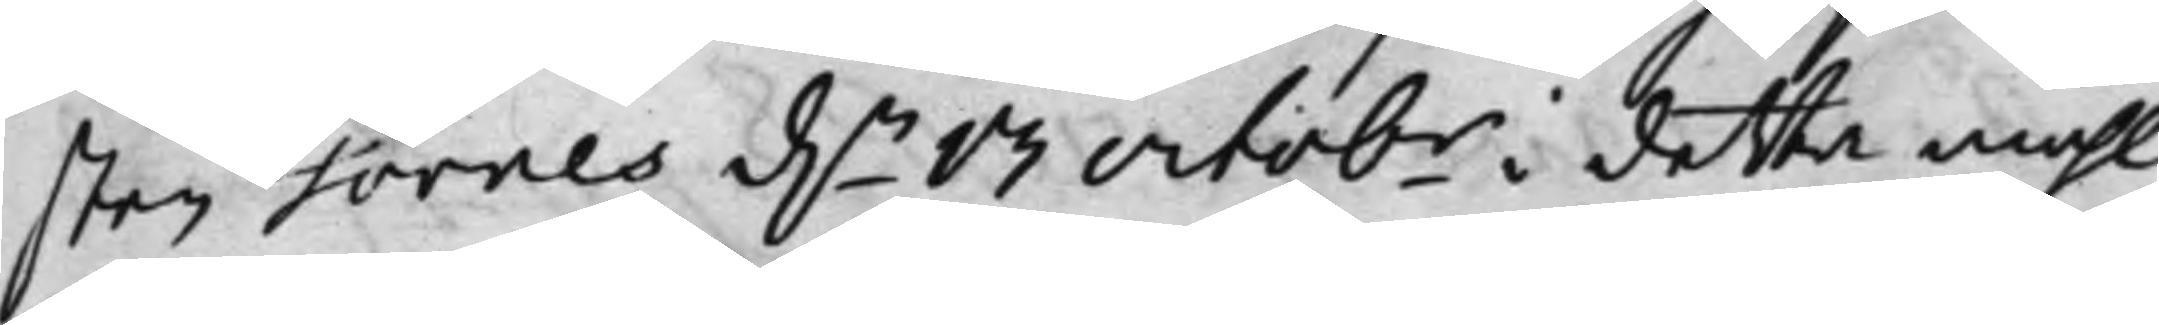sten Tornes d.n 13 Octobr i detta måhl
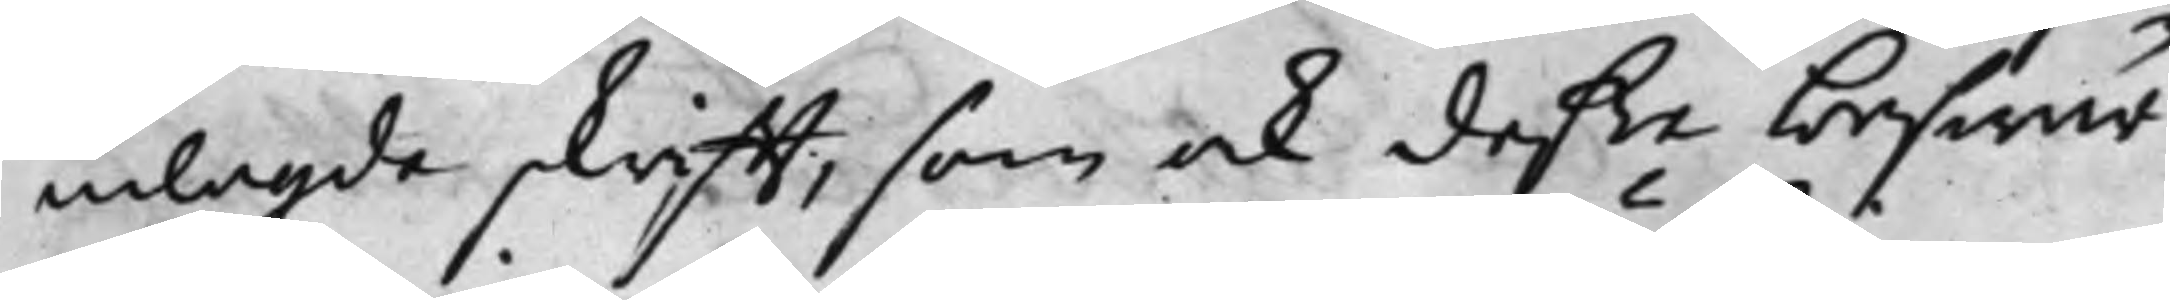inlagde skrifft, som ock deße beswär
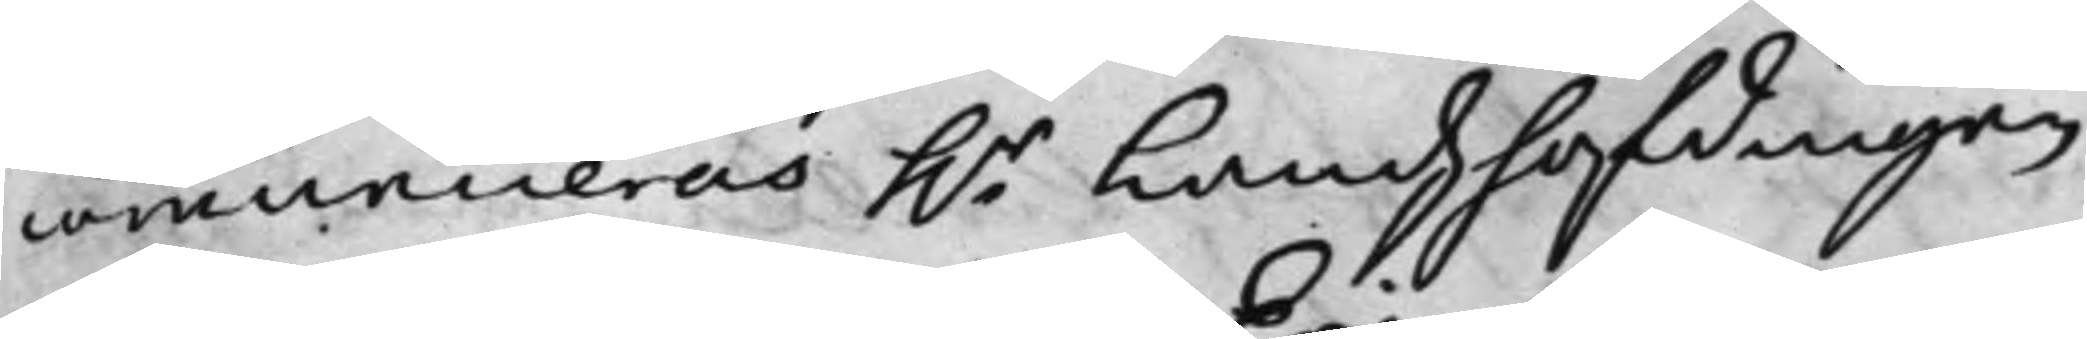communiceras h.r Landzhöfdingen
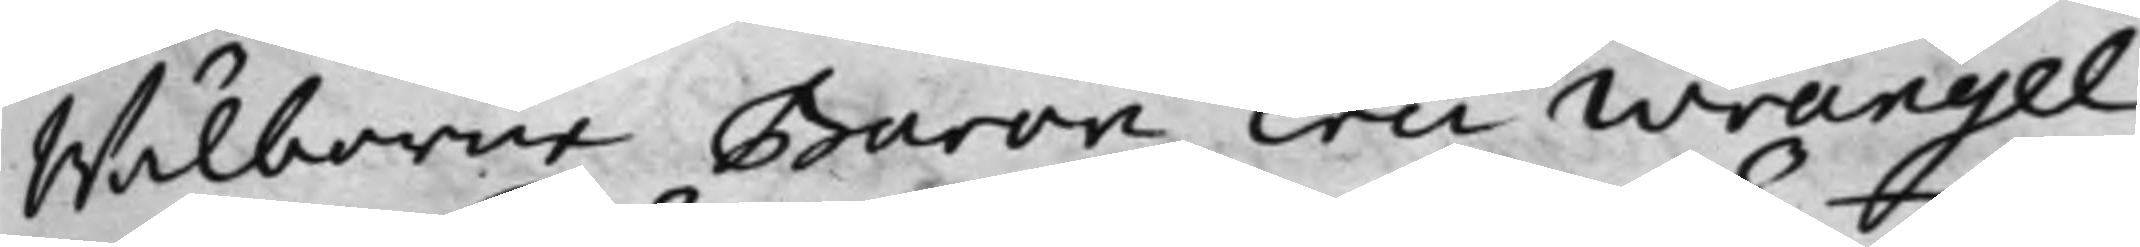Wälborne Baron Eric Wrangel,
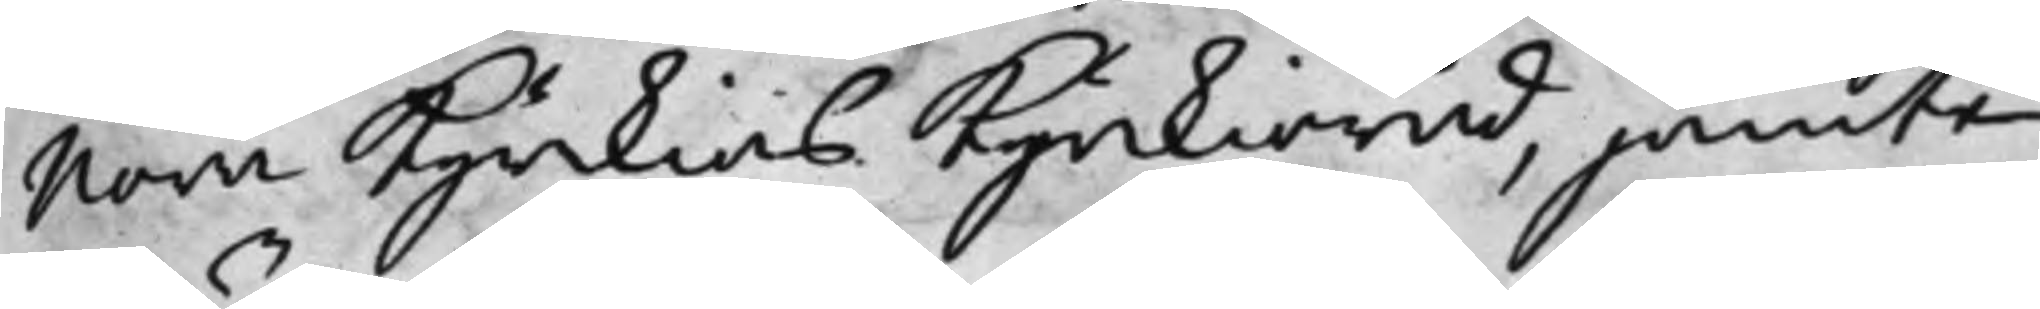Nora Kyrkias Kyrkioråd, jämte
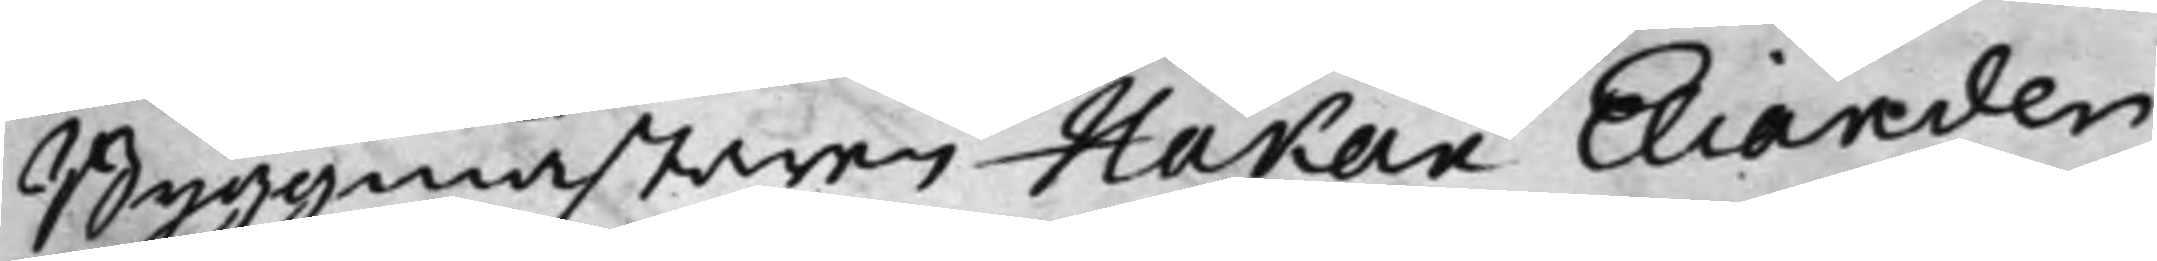Byggmästaren Håkan Eliander
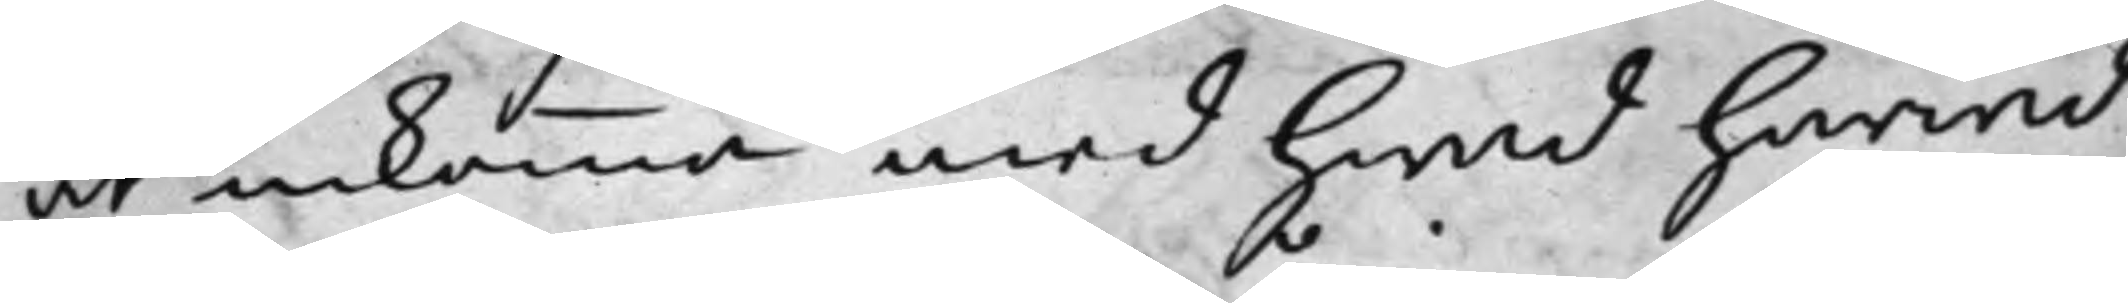at inkomma med hwad härwid
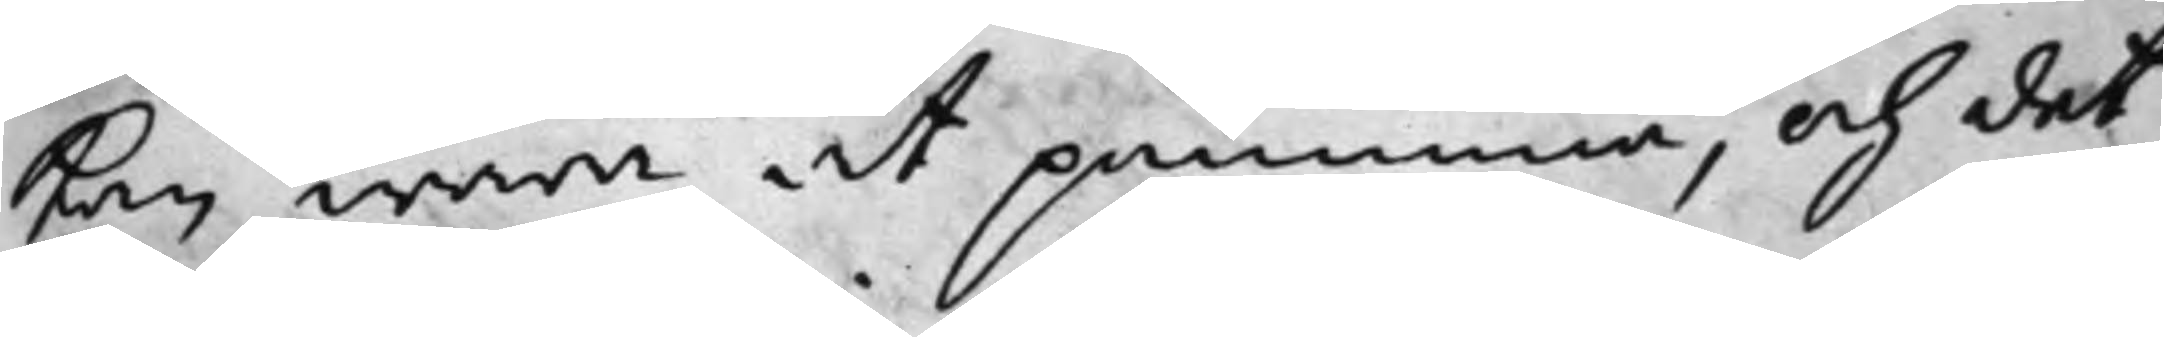kan wara at påminna, och det
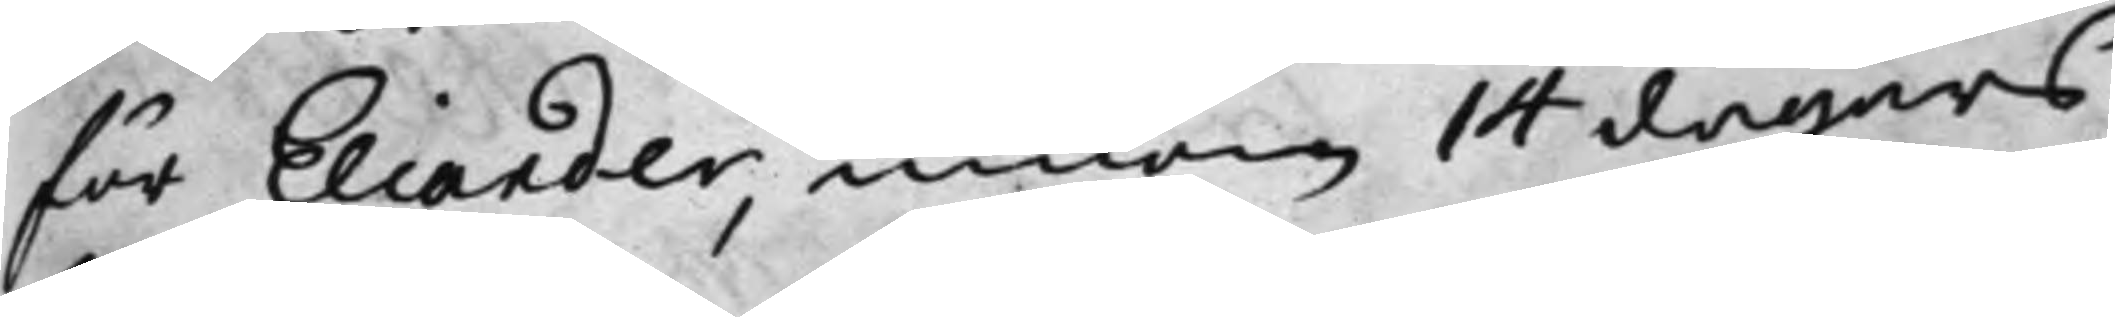för Eliander, innom 14 dagars
